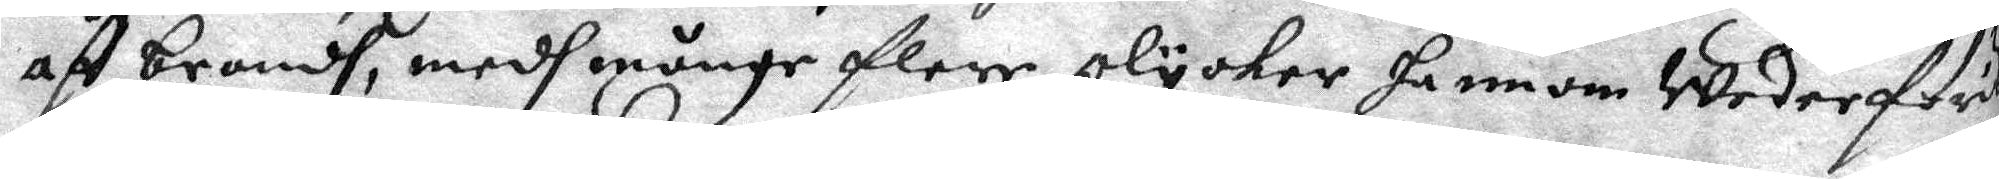aff brandh, medh månge flere olycker hannom Wederför
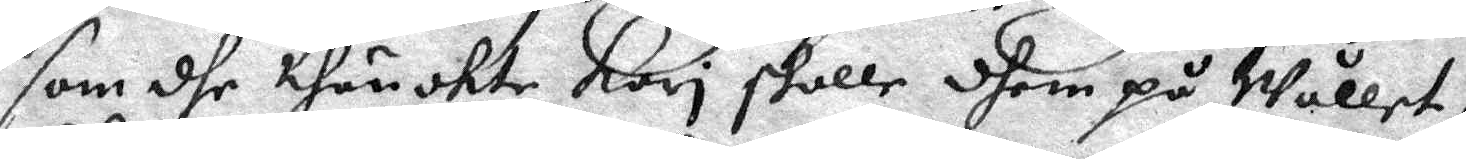som dhe thänokte Kari skulle dhem på Wållet,
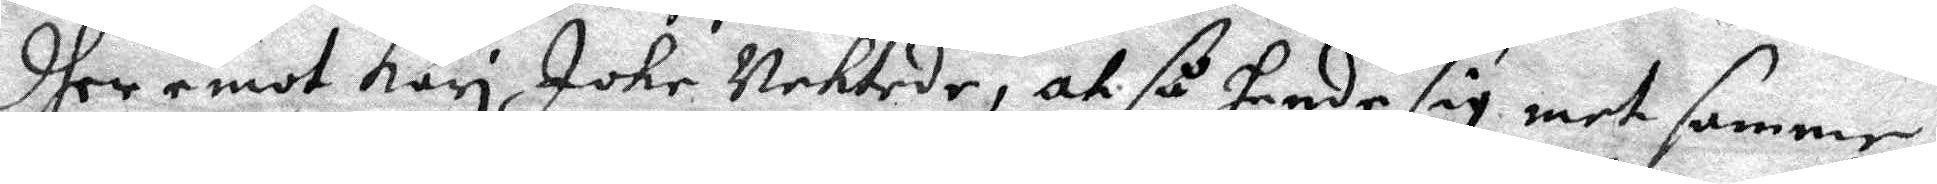dher emot Kari Icke Nektede, at så hande sig met samme
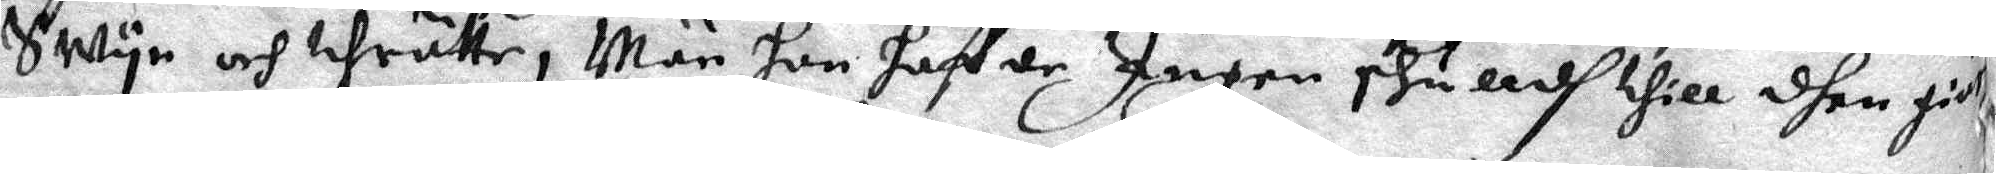Swyn och thrätte, Män hon haffde Ingen skulldh till dhen giär¬
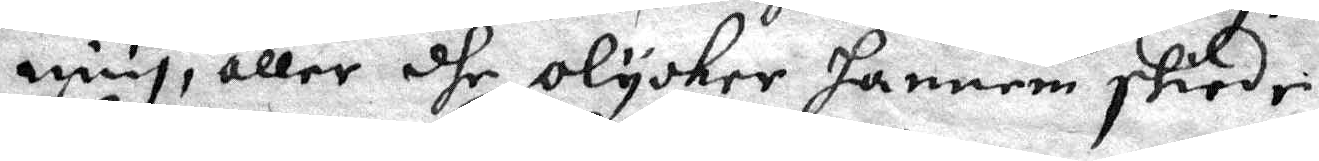ning, eller dhe olycker hannem skiede,
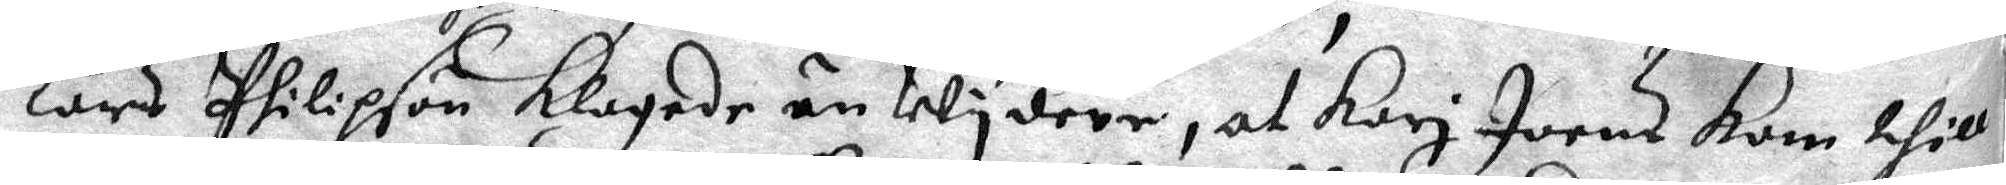Lars Philpson klagade än Wydere, at Kari Joens Kom thill
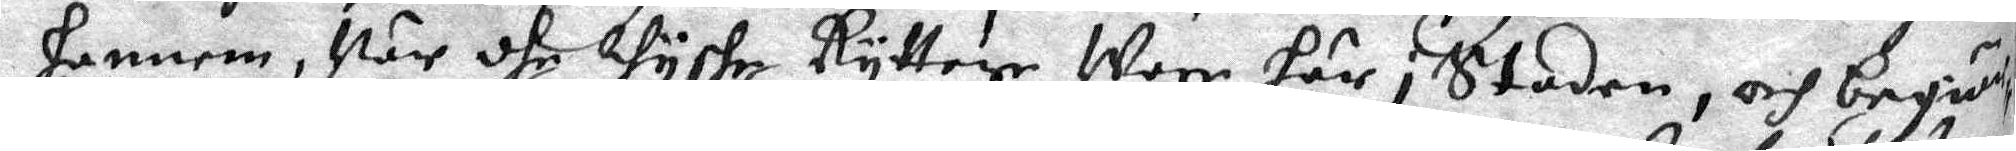hannem, När dhe Wyshe Ryttere Wore här i Staden, och begiär¬
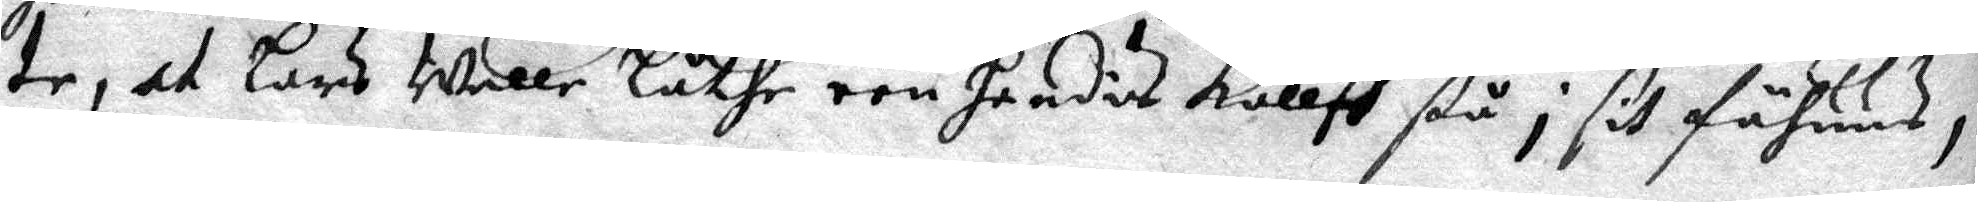te, at Lars Wille låthe een hendis kallff stå i sit fähuus,
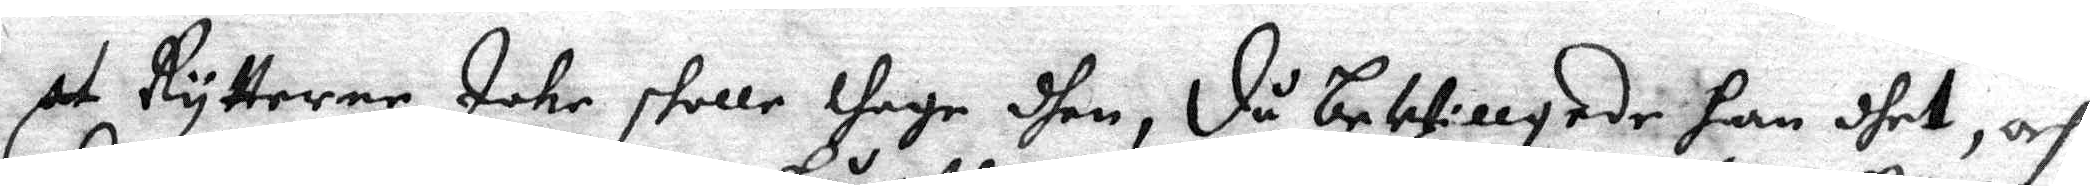at Rytterne Icke skolle thage dhen, då beWillgade han dhet, och
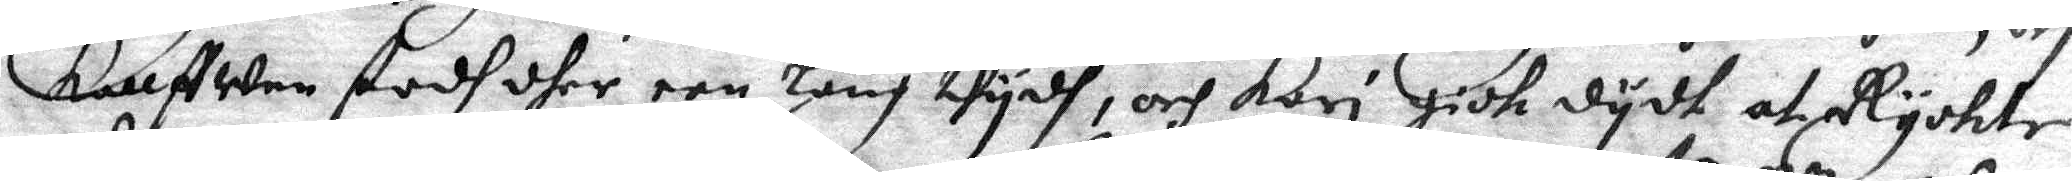kallwen stodh dher een Lång thydh, och Kari gidh dydt at Ryckte
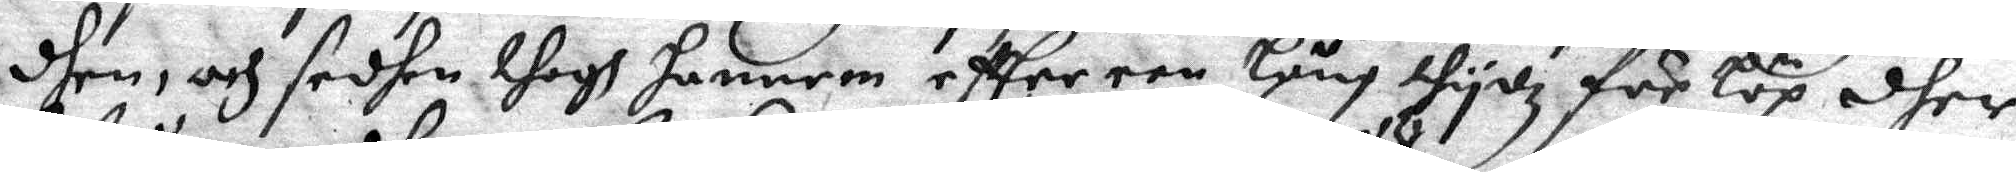dhen, och sedhan thogh hannen effter een Lång tydz för löp dher
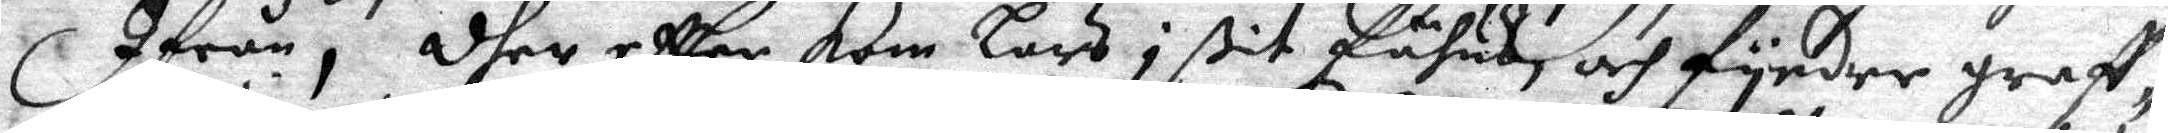Ifrån, dher effter kom Lars i sit fähus, och fynder graff¬
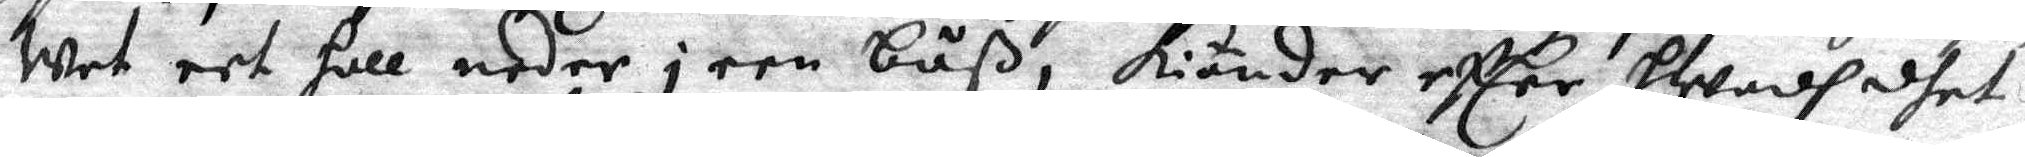wet eet holl neder i een båß, kiänder eftter hwadh dhet
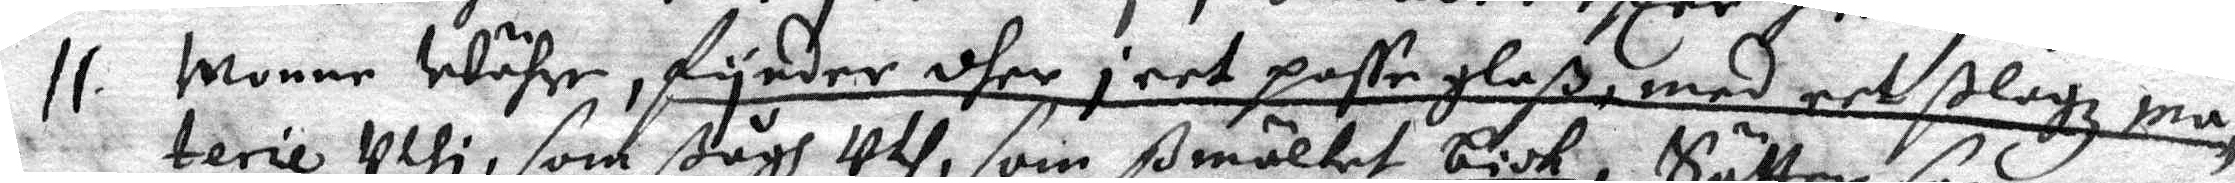11. monne Währe, fynder dher j eet paffeglaß, med eet slagz ma¬
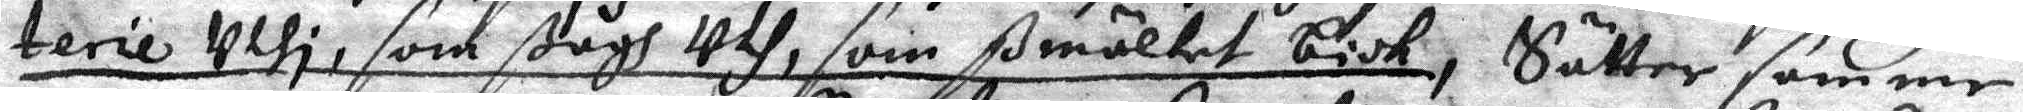terie uthi, som ßågh Uth, som ßmältet biok; Sätter samme
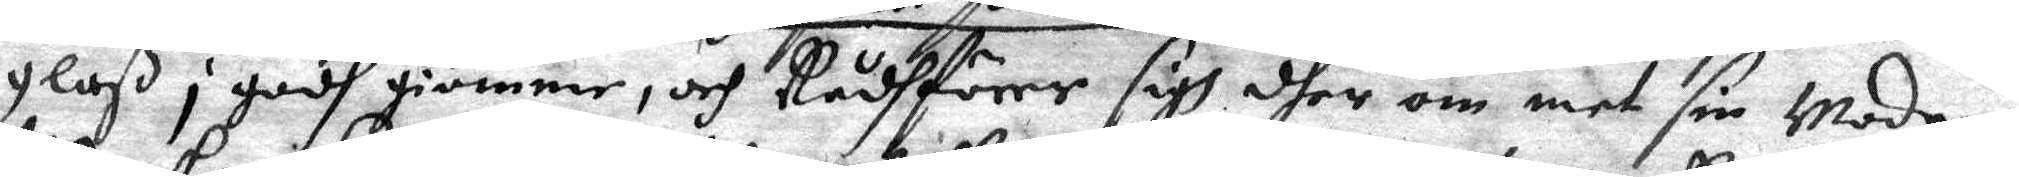glaß i godh giömme, och Rådhförer sigh dher om met sin Moder,
